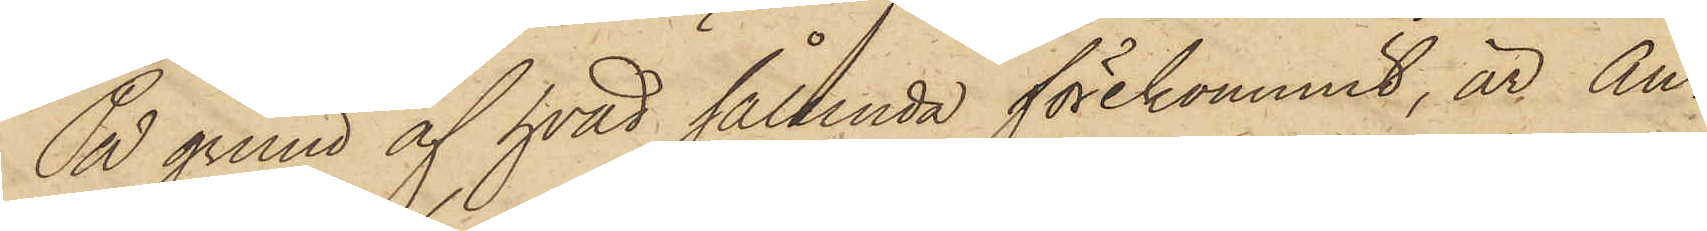På grund af hvad sålunda förekommit, är An¬
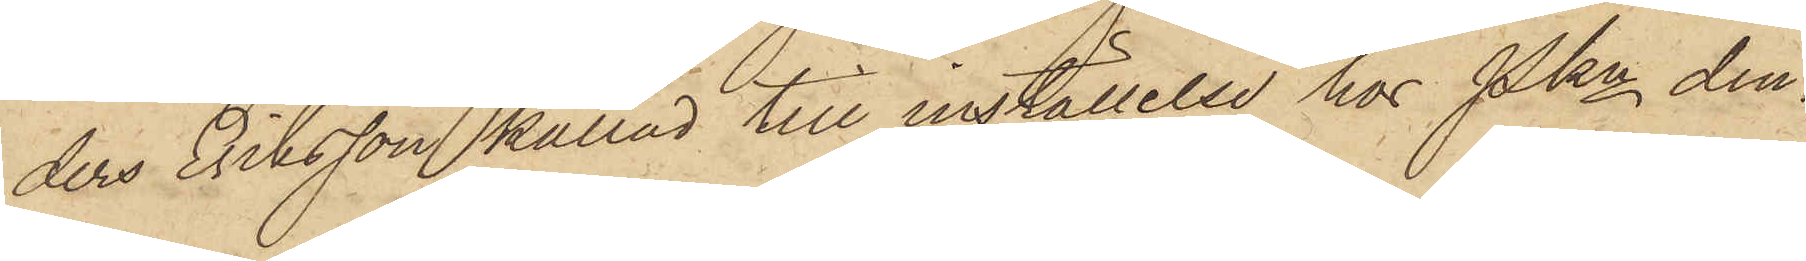ders Eriksson kallad till inställelse hos Pkn den¬
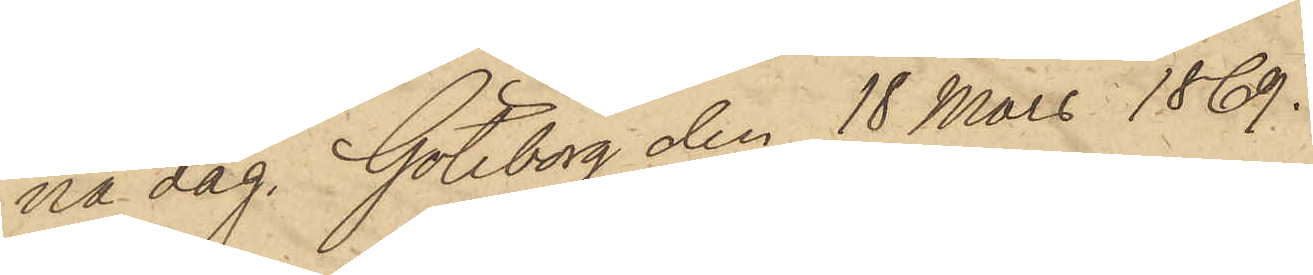na dag. Göteborg den 18 Mars 1869.
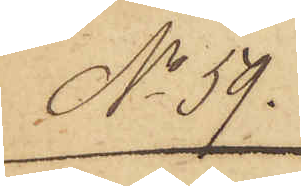No 59.
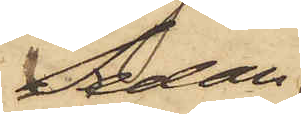Sedan
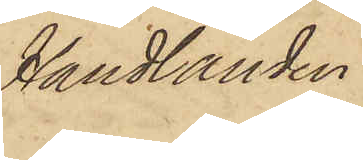Handlanden
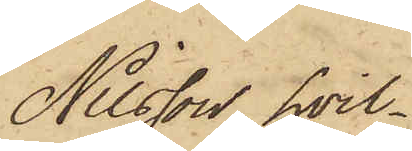Nilsson, hvil¬
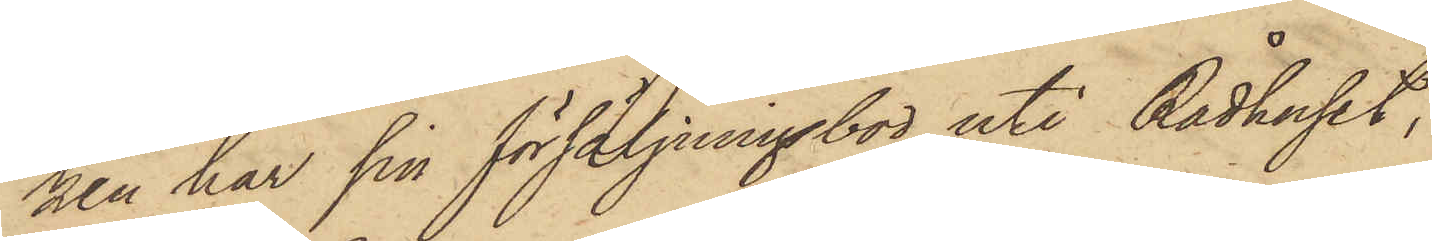nen har sin försäljningsbod uti Rådhuset,
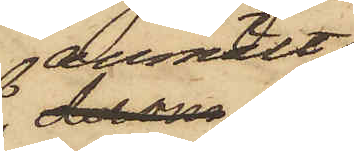anmält
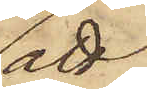att
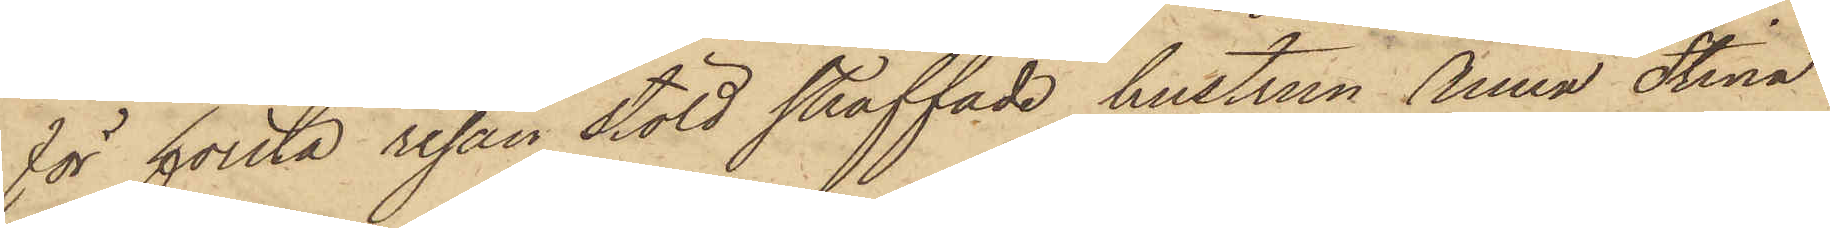för första resan stöld straffade hustrun Anna Stina
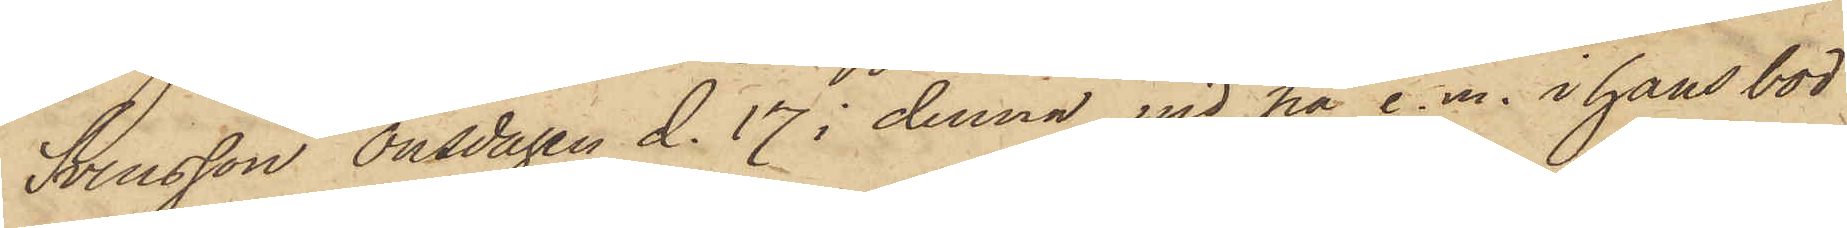Svensson Onsdagen d.17 i denna md på e.m. i hans bod
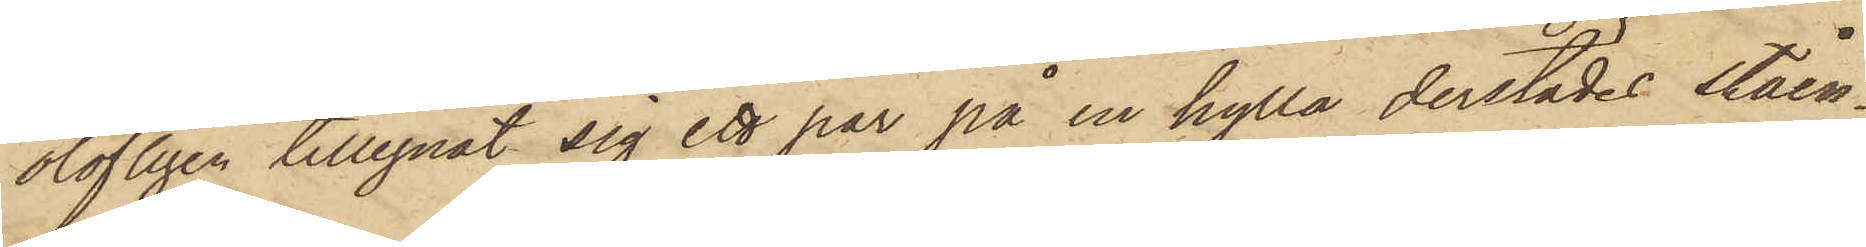olofligen tillegnat sig ett par på en hylla derstädes ståen¬
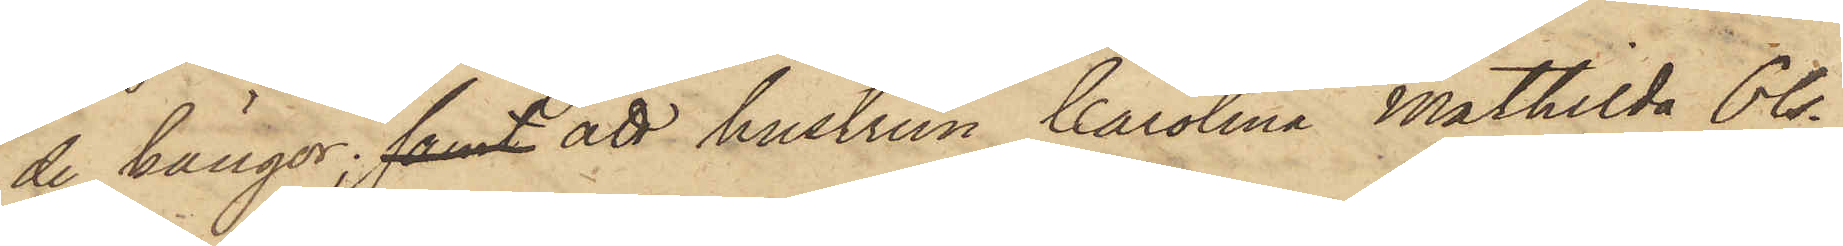de kängor; samt att hustrun Carolina Mathilda Ols¬
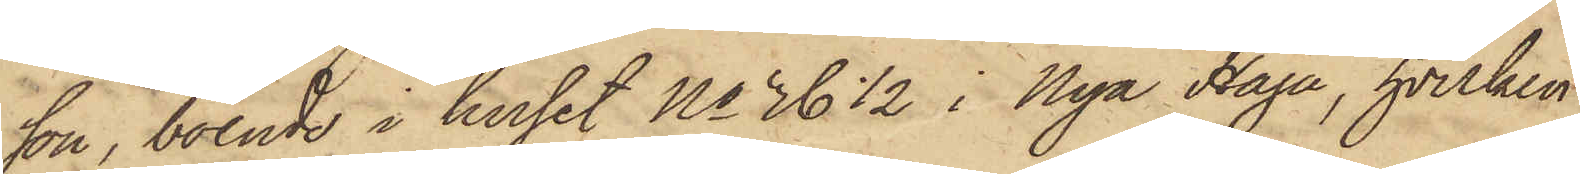son, boende i huset No 36 1/2 i Nya Haga, hvilken
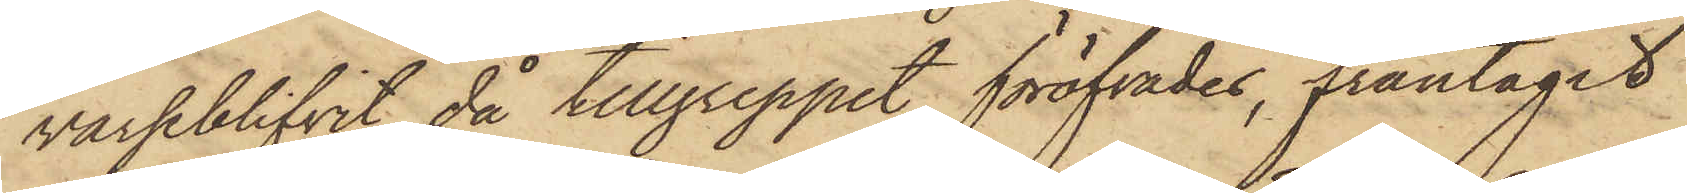varseblifvit då tillgreppet föröfvades, fråntagit
